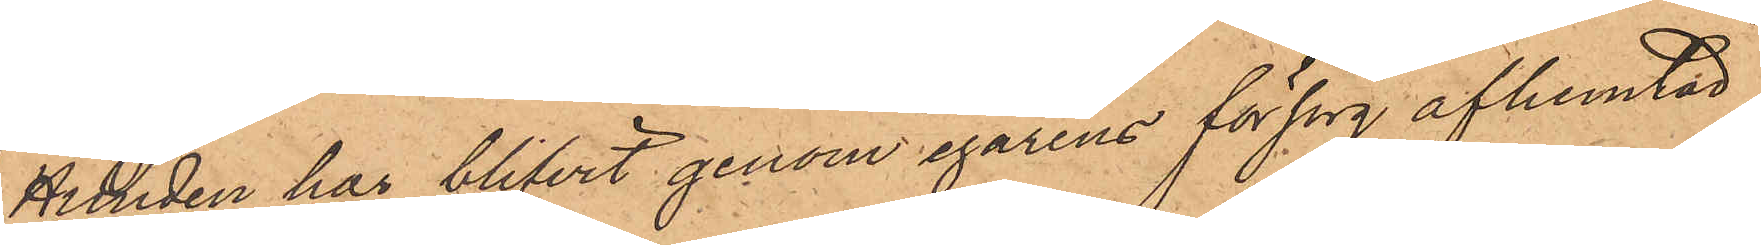Hunden har blifvit genom egarens försorg afhemtad
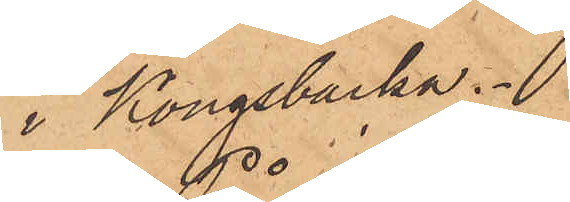i Kongsbacka.
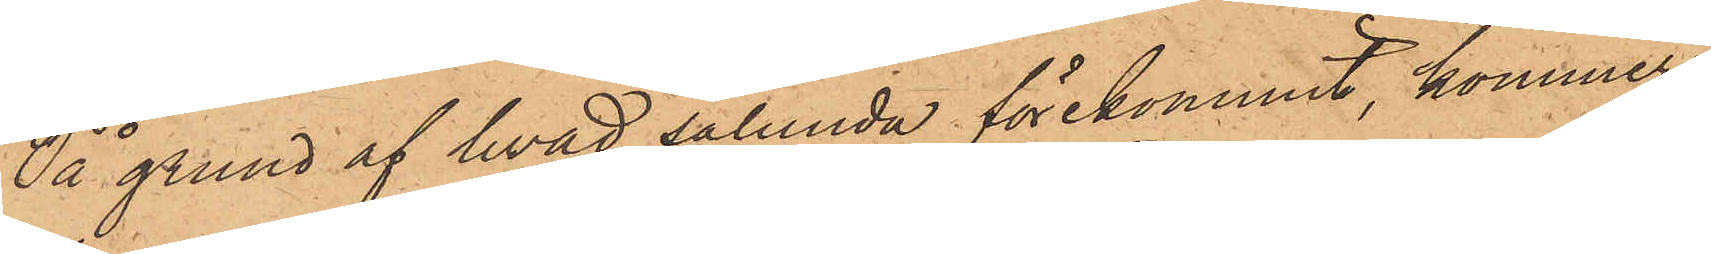På grund af hvad sålunda förekommit, kommer
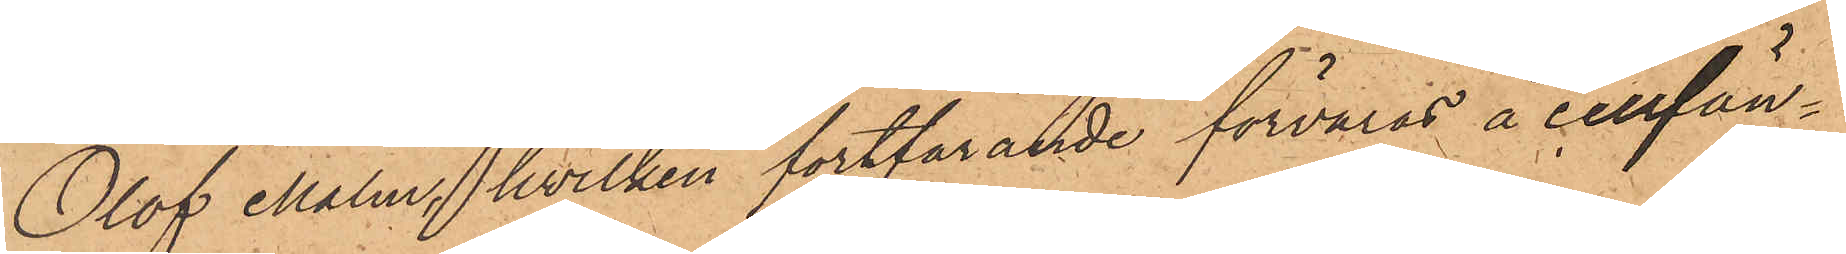Olof Malm, hvilken fortfarande förvaras å cellfän¬
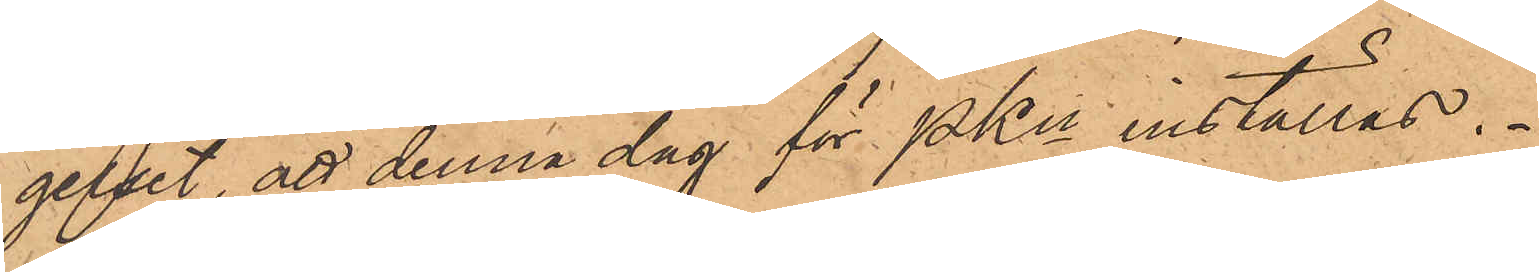gelset, att denna dag för PKn inställas.
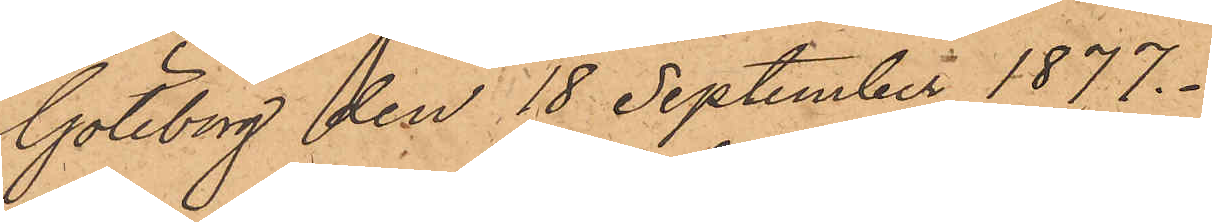Göteborg den 18 September 1877.
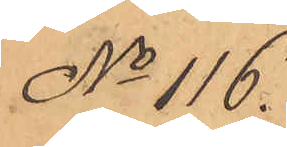No 116.
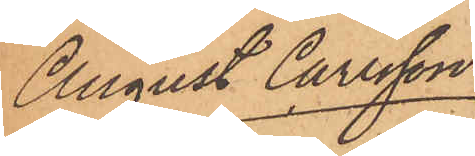August Carlsson
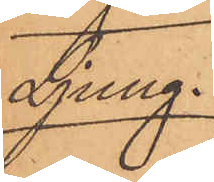Ljung.
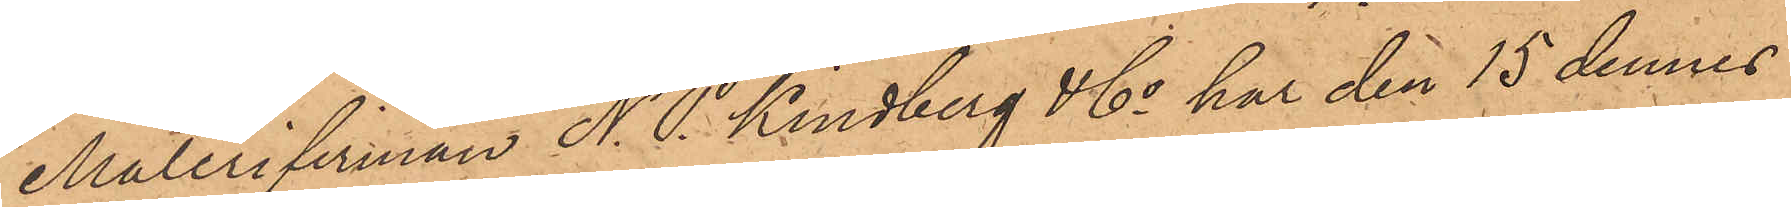Målerifirman N. P. Lindberg & Co har den 15 dennes
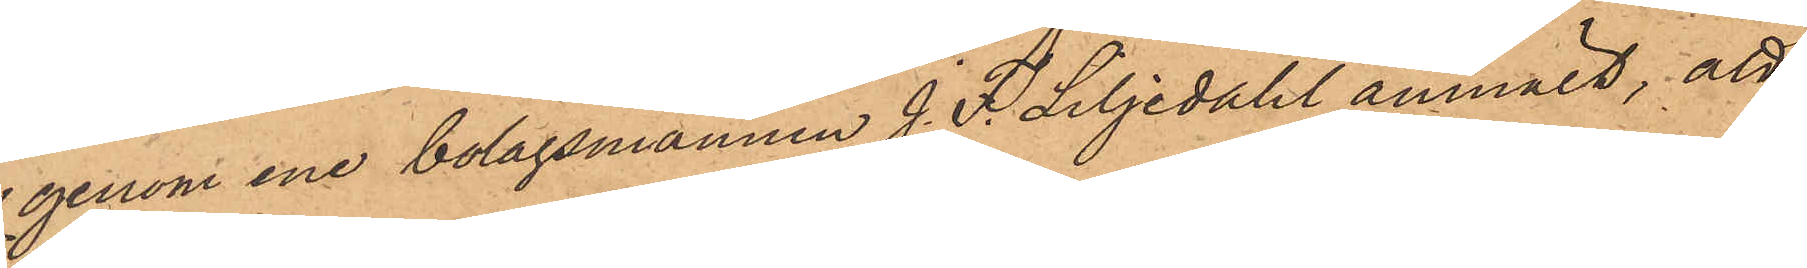genom ene bolagsmannen J. F. Liljedahl anmält, att
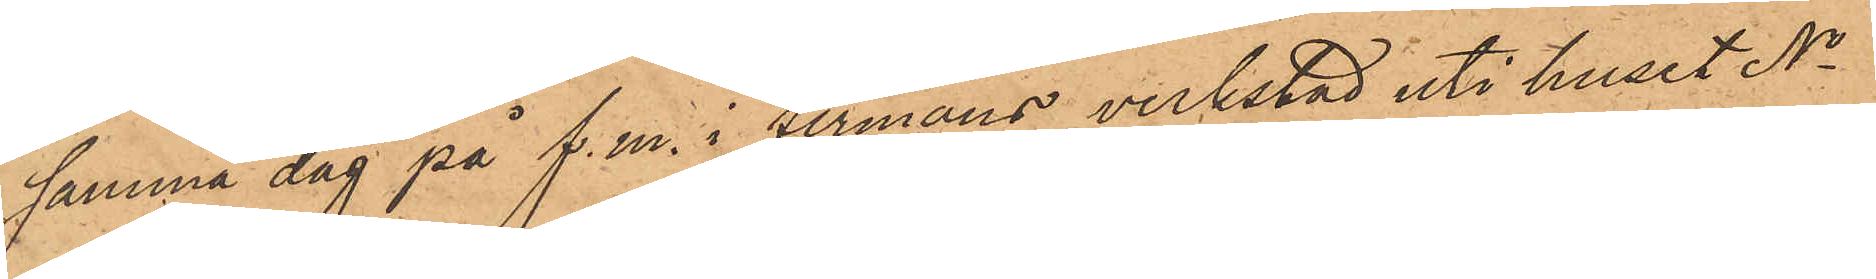samma dag på f.m. i firmans verkstad uti huset No
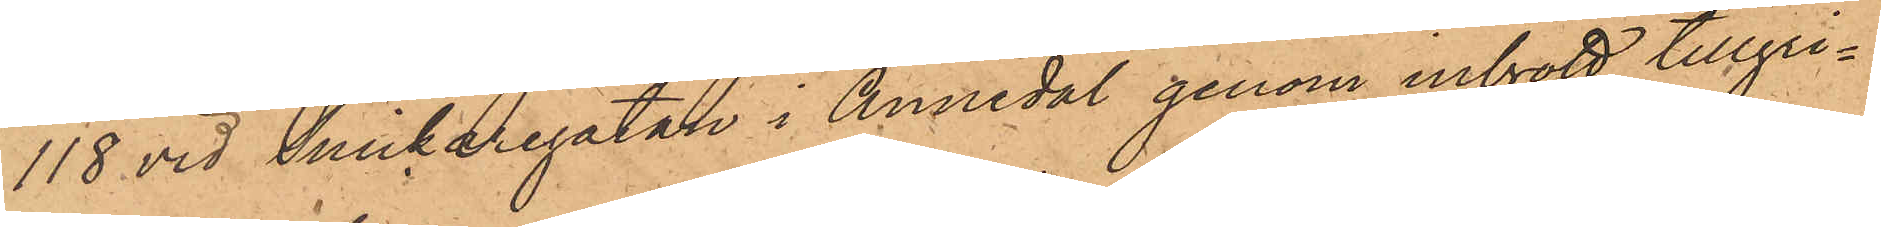118 vid Snickaregatan i Annedal genom inbrott tillgri¬
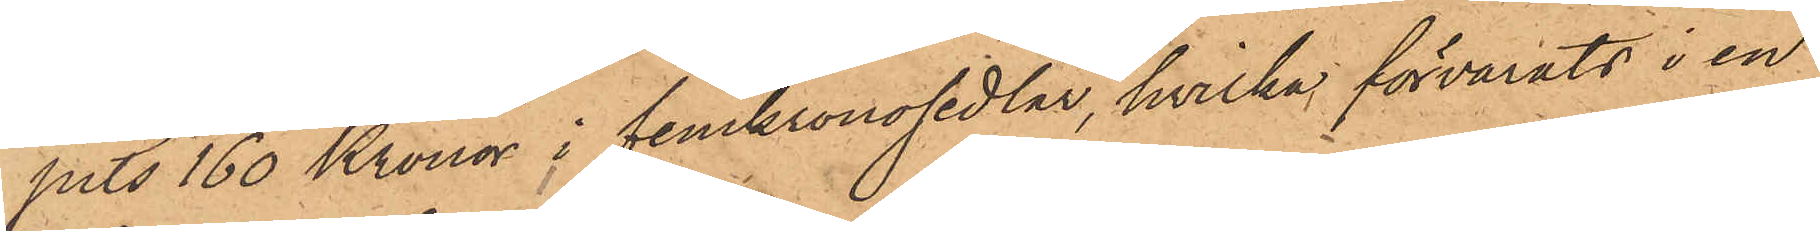pits 160 Kronor i femkronosedlar, hvilka förvarats i en
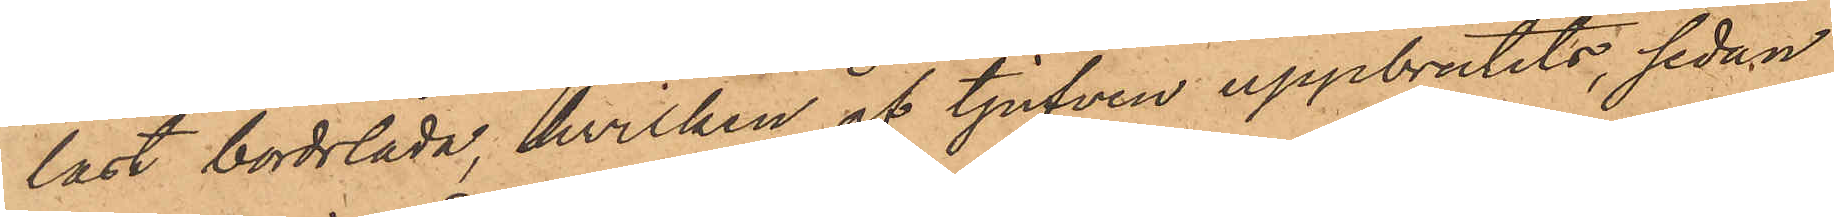låst bordslåda, hvilken af tjufven uppbrutits, sedan
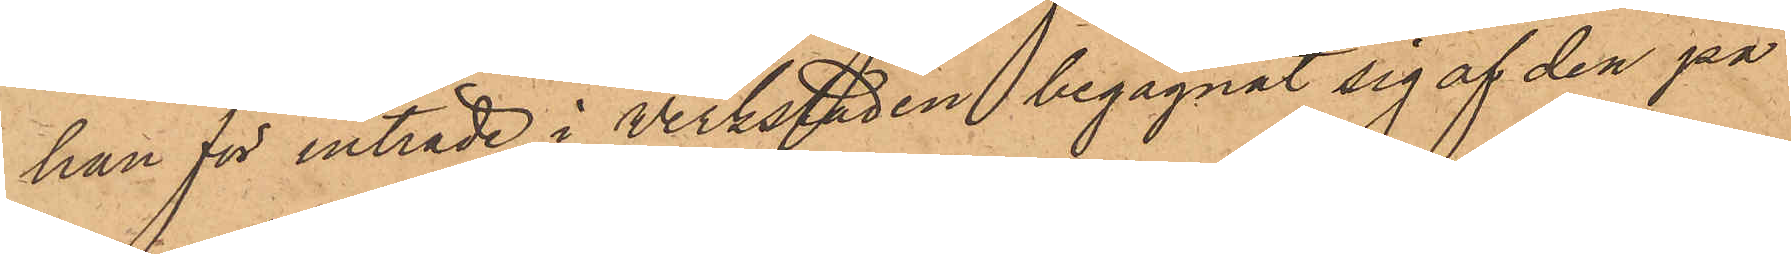han för inträde i verkstaden begagnat sig af den på
